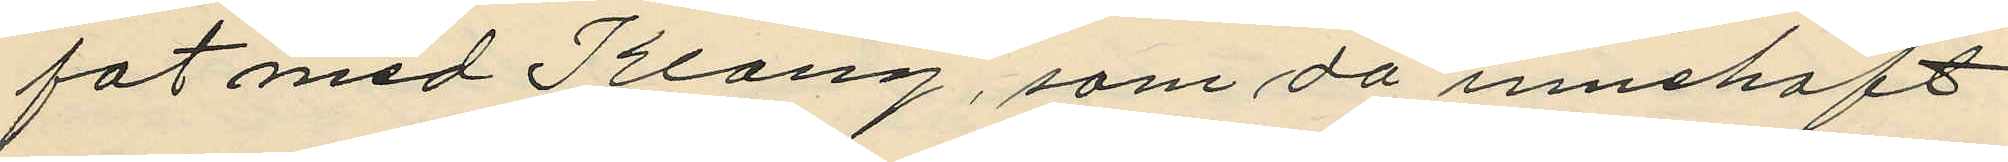fat med Klang, som då innehaft
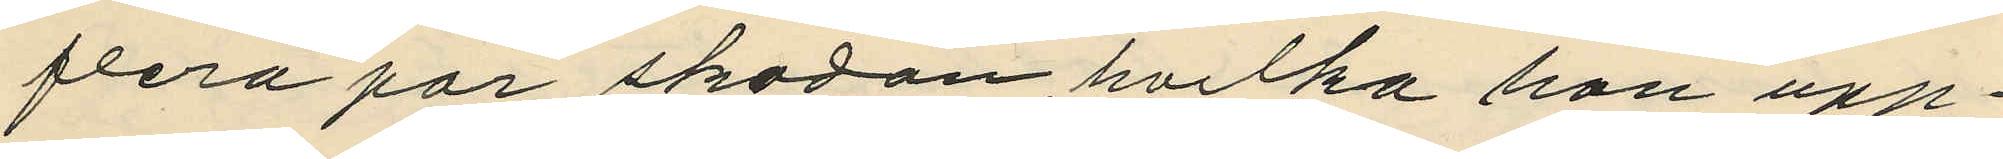flera par skodon, hvilka han upp¬
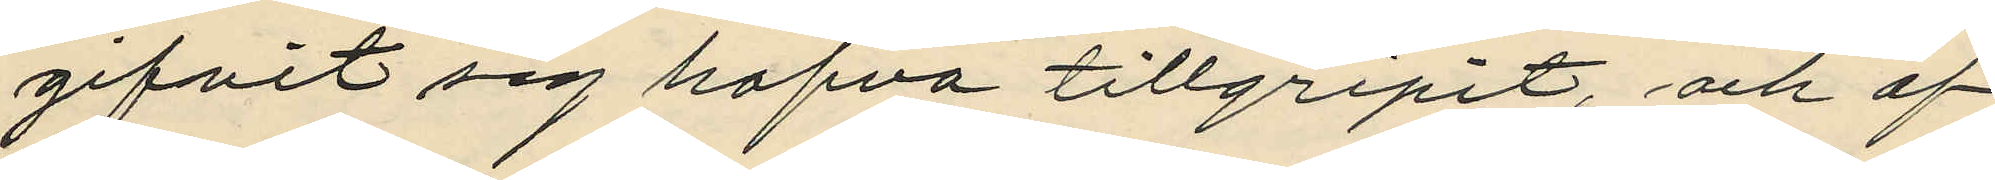gifvit sig hafva tillgripit, och af
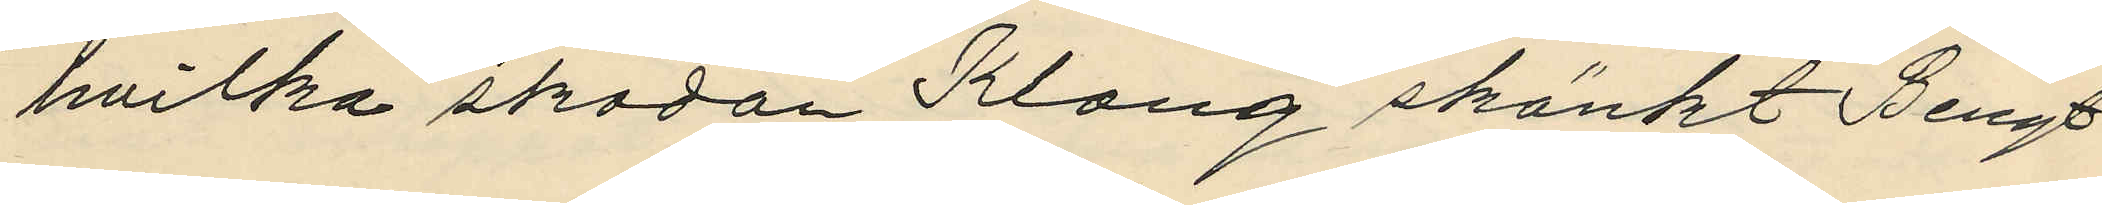hvilka skodon Klang skänkt Bengt¬
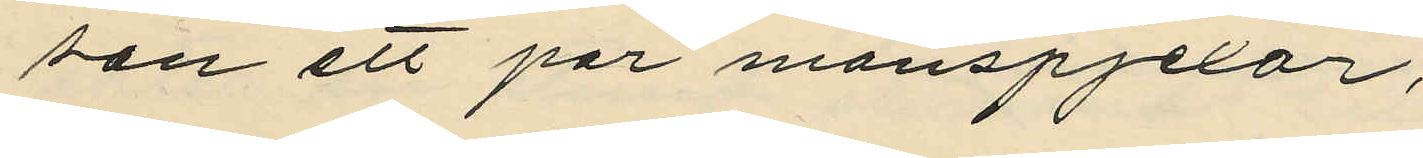son ett par manspjexor;
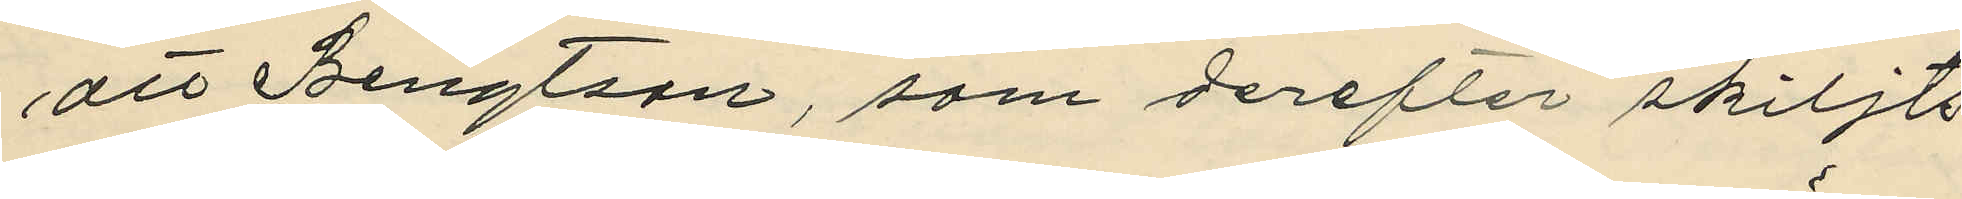att Bengtson, som derefter skiljts
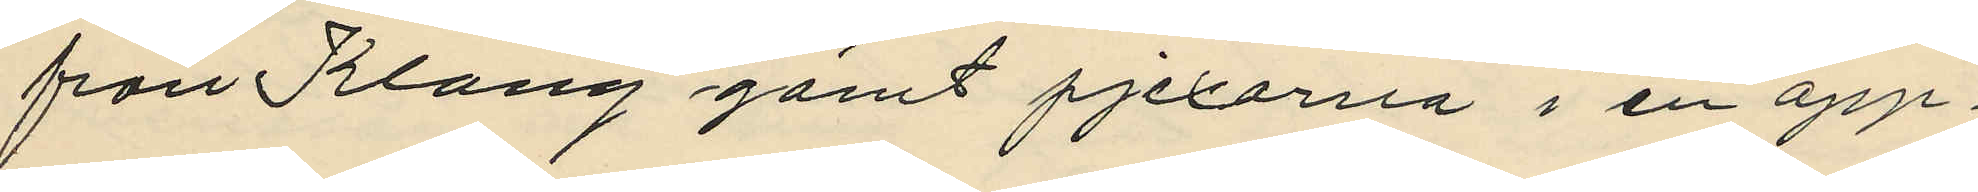från Klang gömt pjexorna i en öpp¬
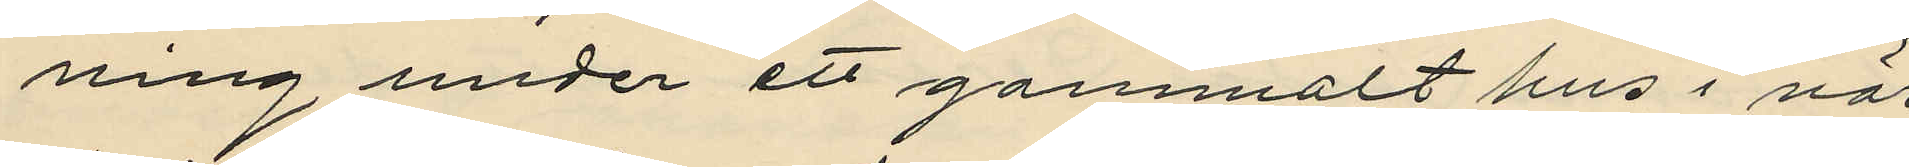ning under ett gammalt hus i när¬
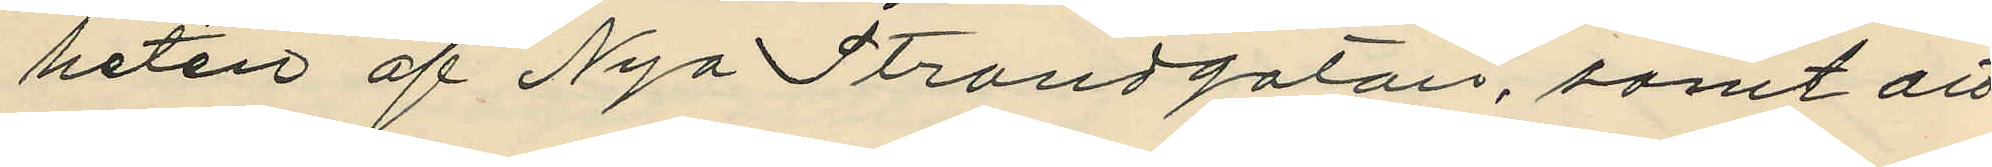heten af Nya Strandgatan, samt att
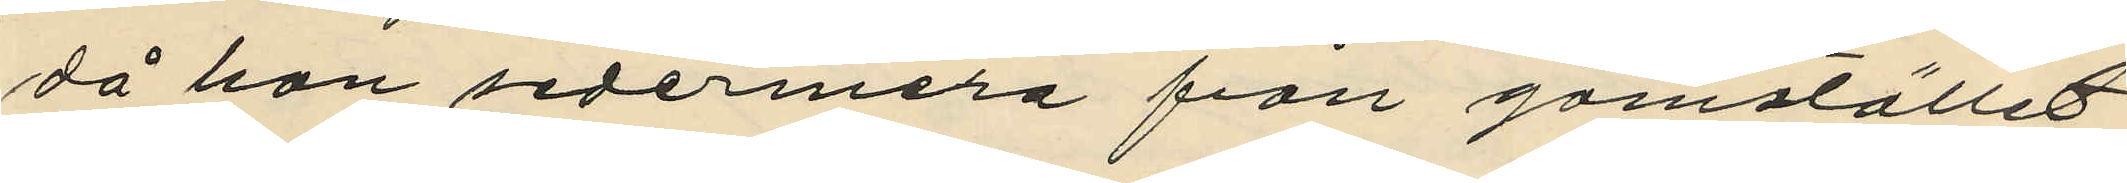då han sedermera från gömstället
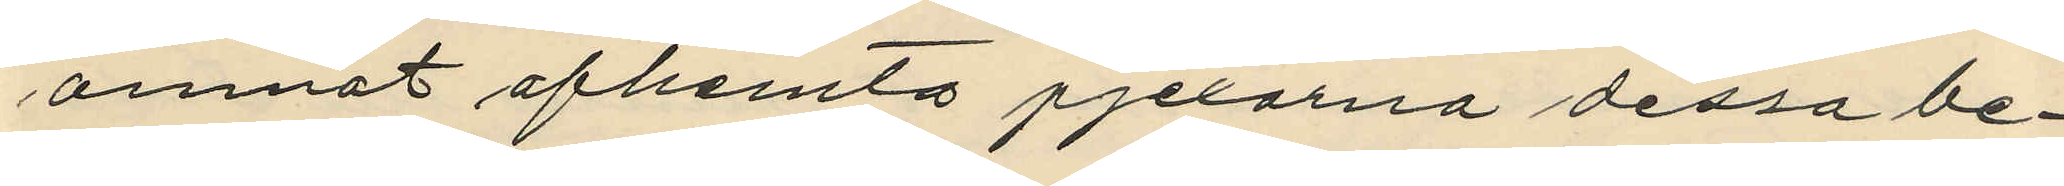amnat afhemta pjexorna dessa be¬
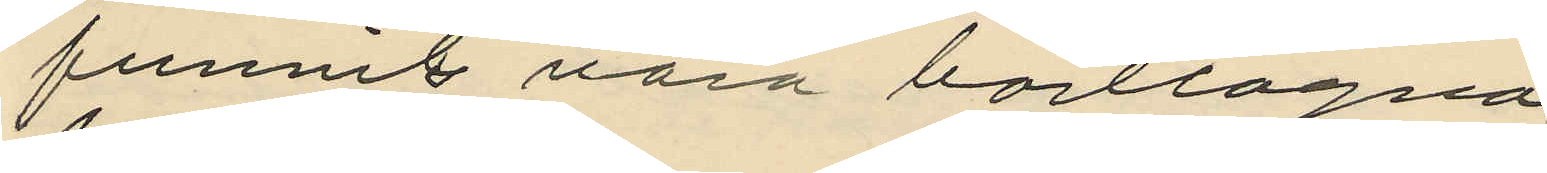funnits vara borttagna.
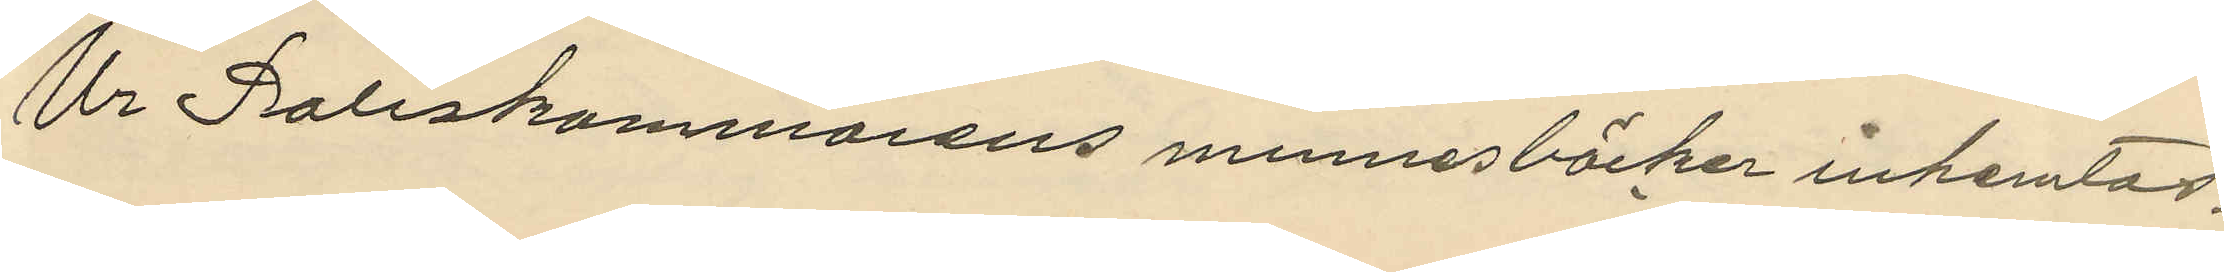Ur Poliskammarens minnesböcker inhemtas;
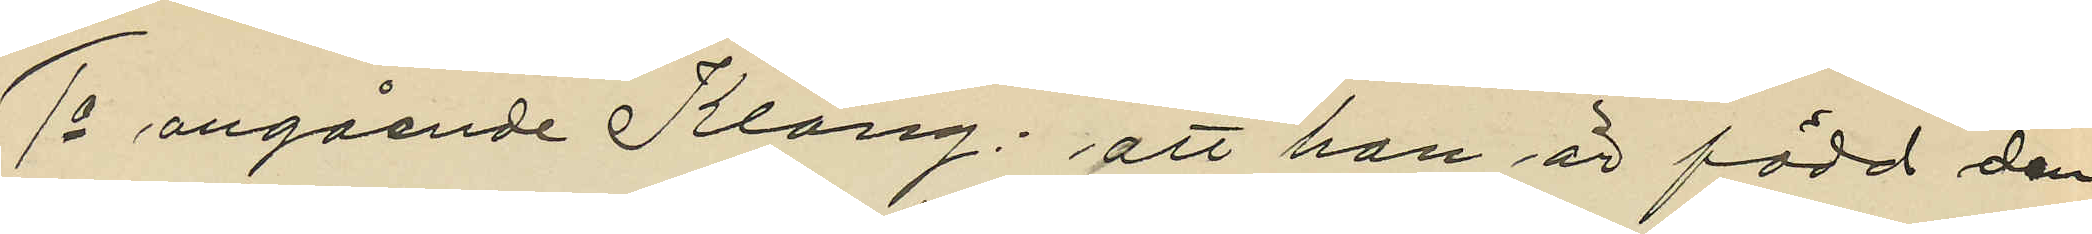1o angående Klang: att han är född den
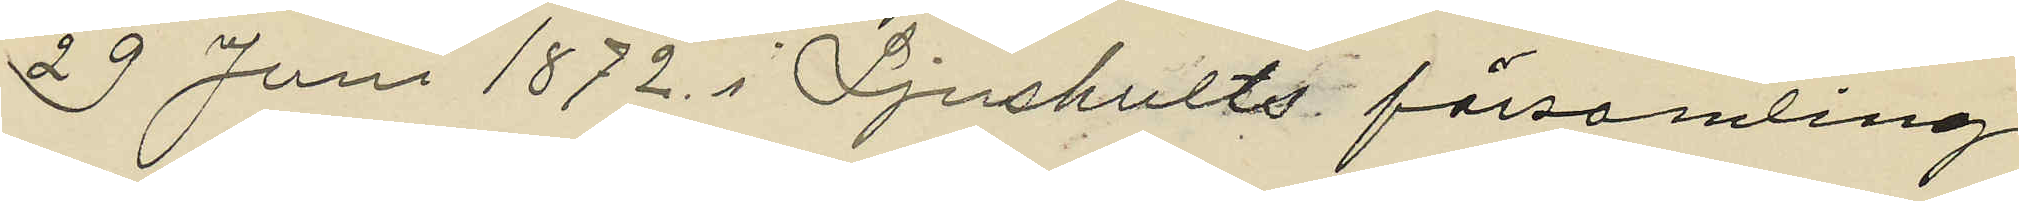29 Juni 1872 i Ljushults församling
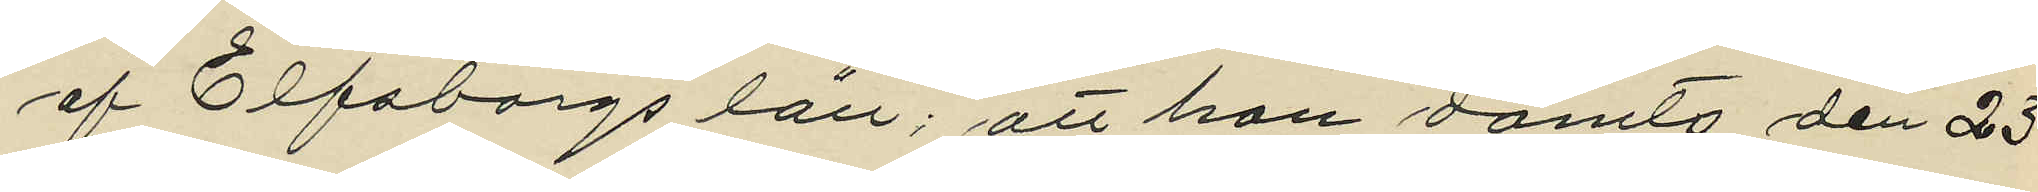af Elfsborgs län; att han dömts den 23 
